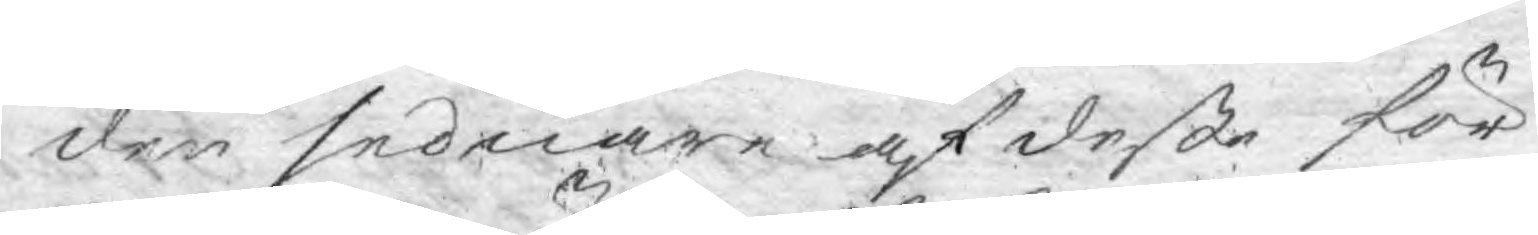den sednare af deße för¬
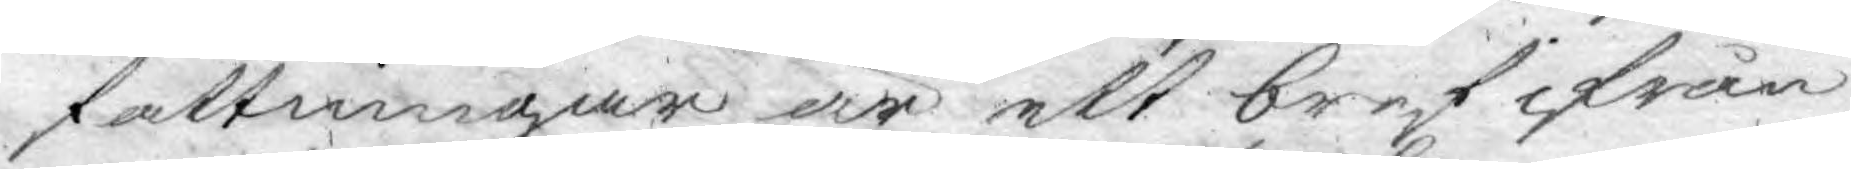fattningar är ett bref ifrån
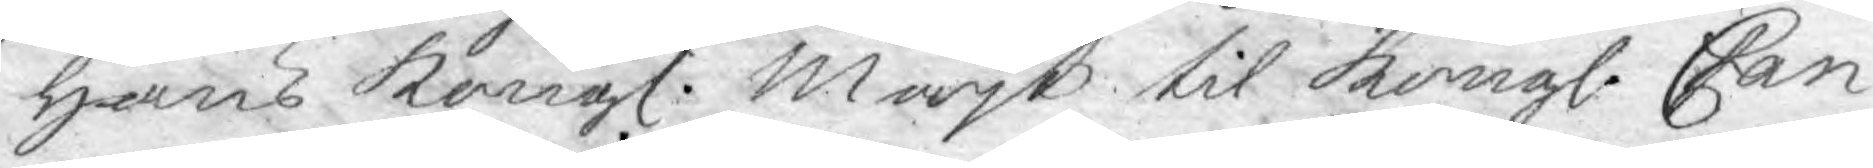hans Kongl. Mayt til Kongl. Can¬
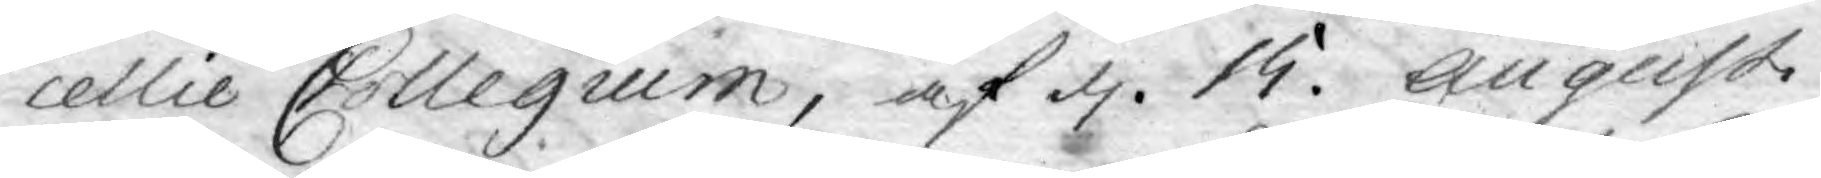cellie Collegium, af d. 15. Augusti
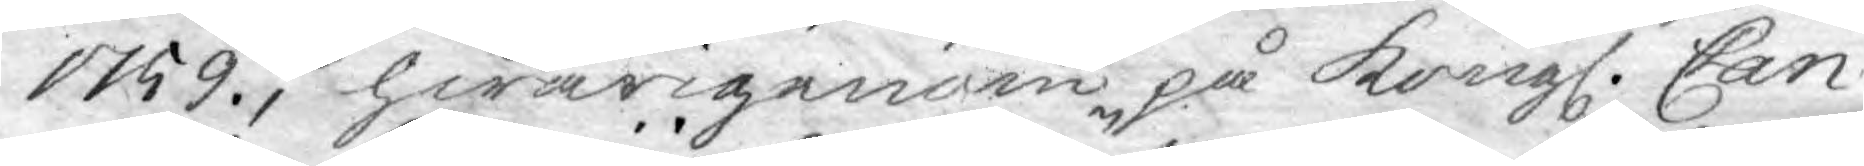1759., hwarigenom på Kongl. Can¬
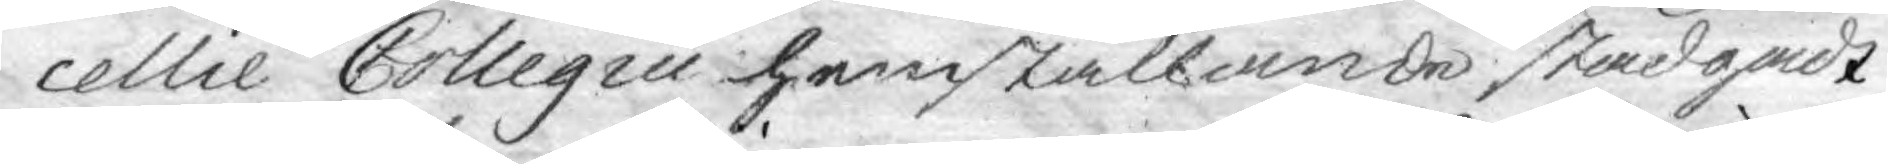cellie Collegiis hemställande stadgadt
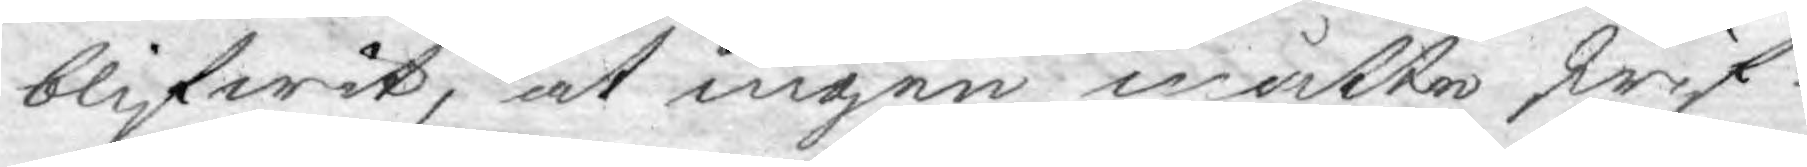blifwit, at ingen måtte skrif¬
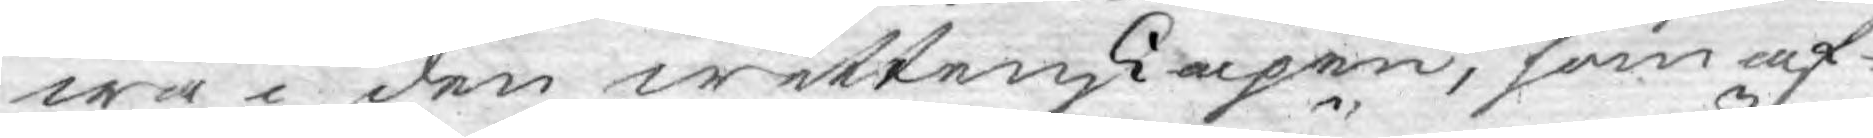wa i den wettenskapen, som af¬
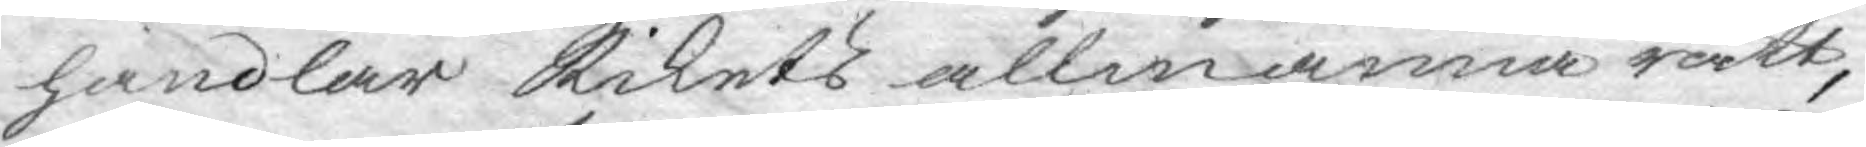handlar Rikets allmänna rätt,
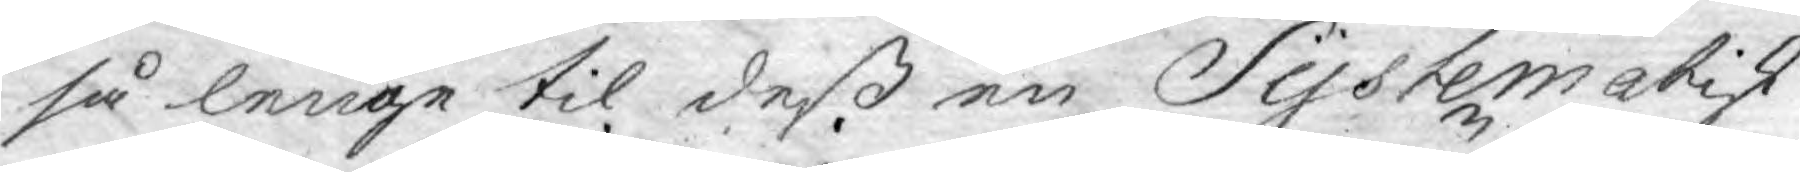så lenge til deß en Systematisk
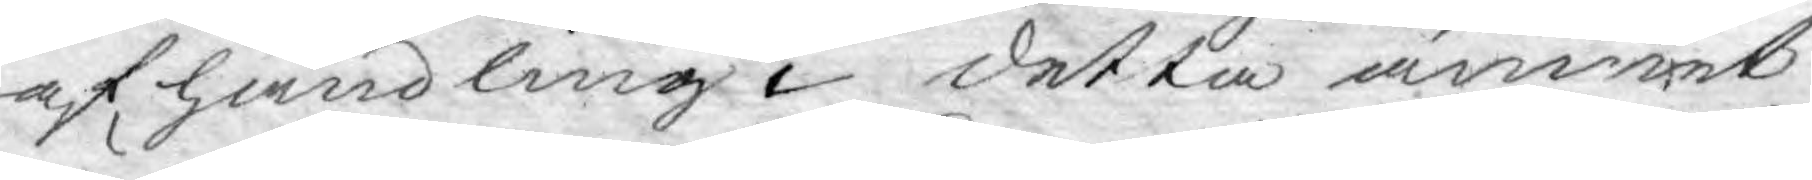af handling i detta ämmet
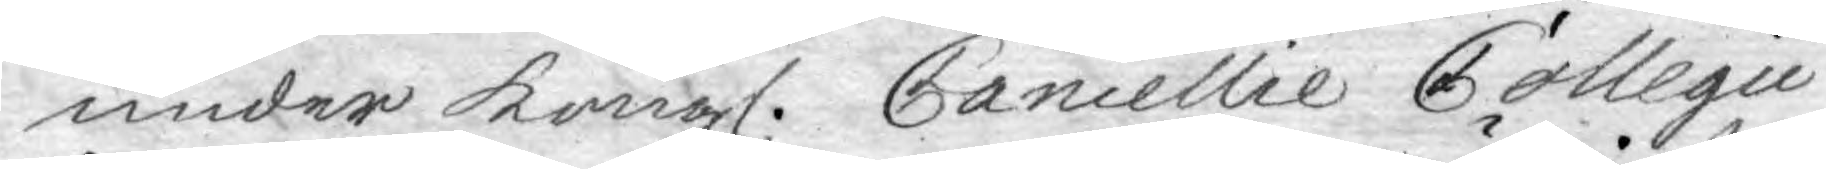under Kongl. Cancellie Collegii
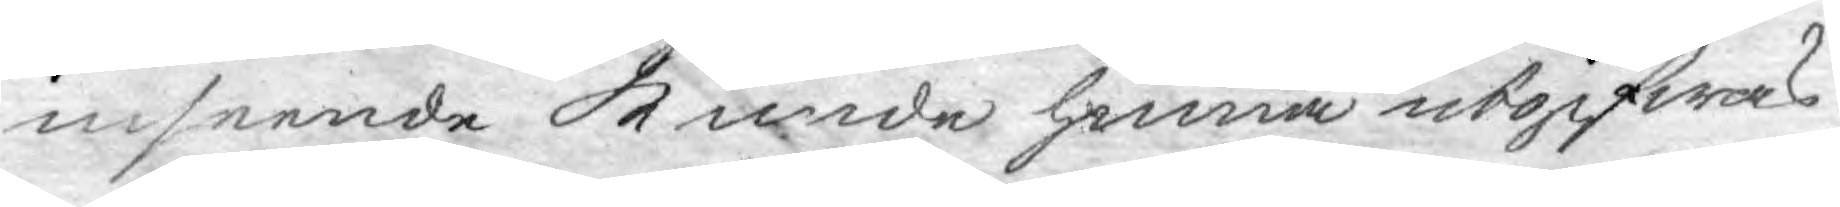inseende kunde hinna utgifwas.
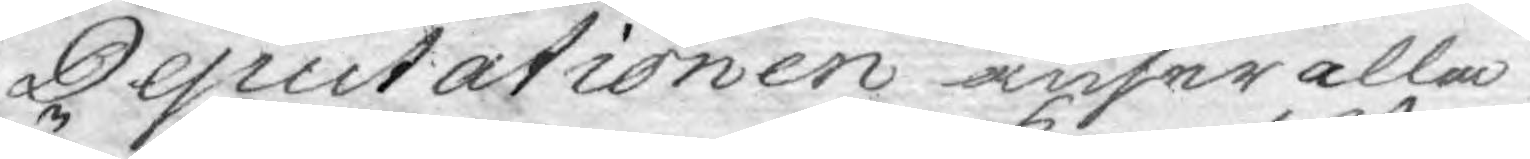Deputationen anser alla
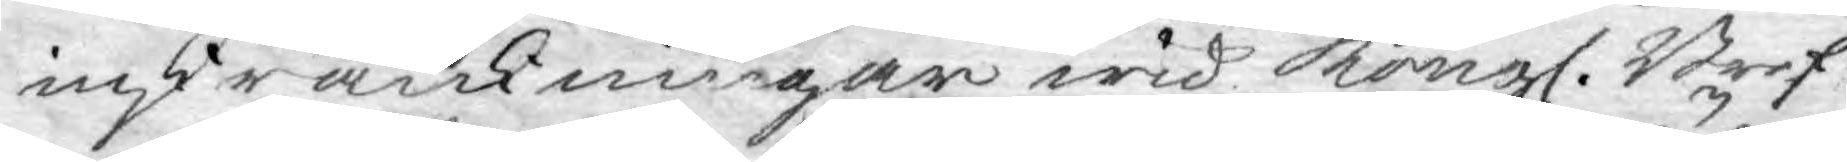inskränkningar wid Kongl. Bref¬
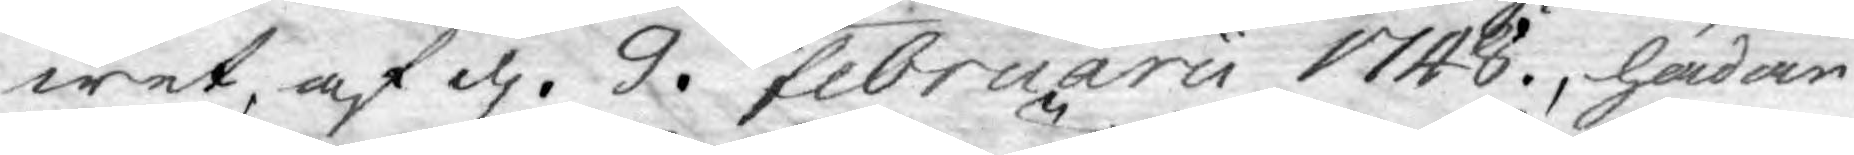wet, af d. 9. Februarii 1748, hädan¬
